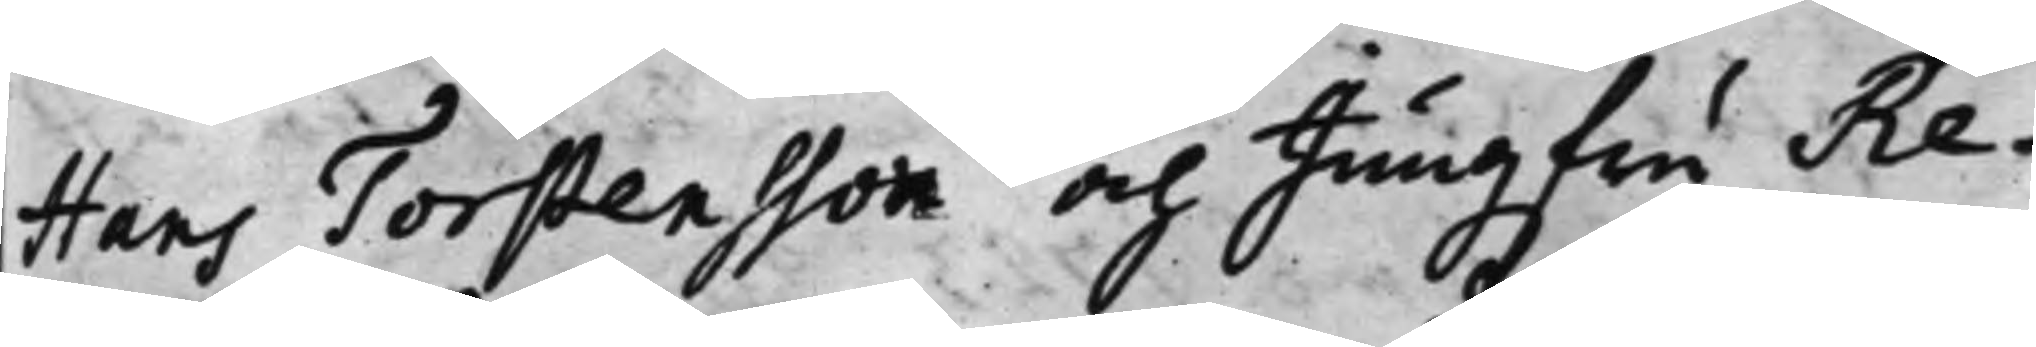Hans Torstensson och Jungfru Re¬
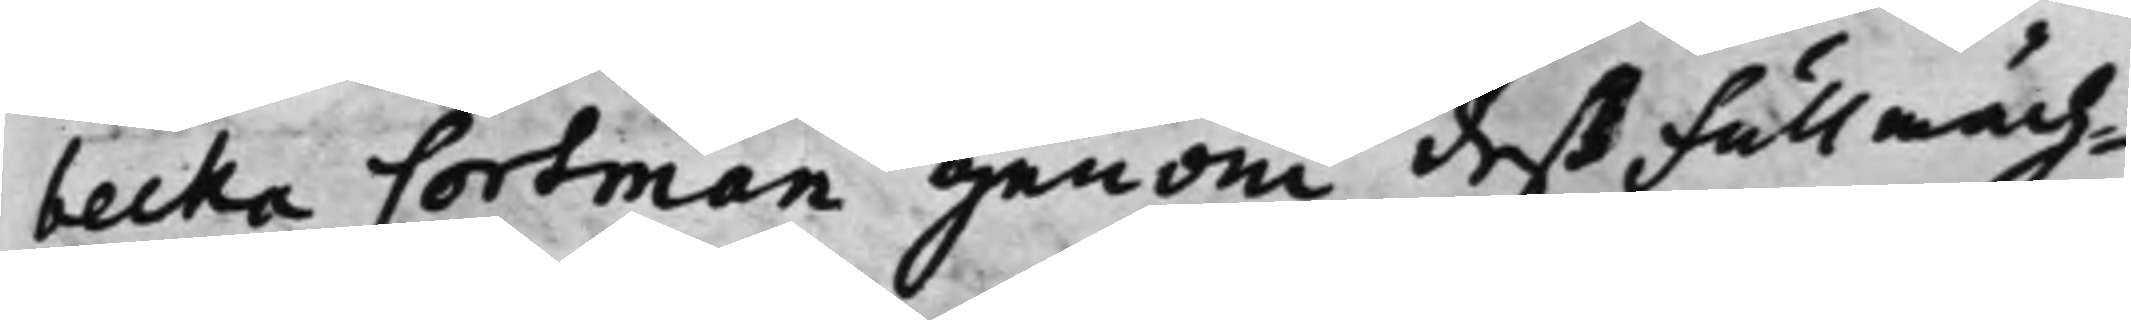becka Cortman genom deß Fullmäch¬
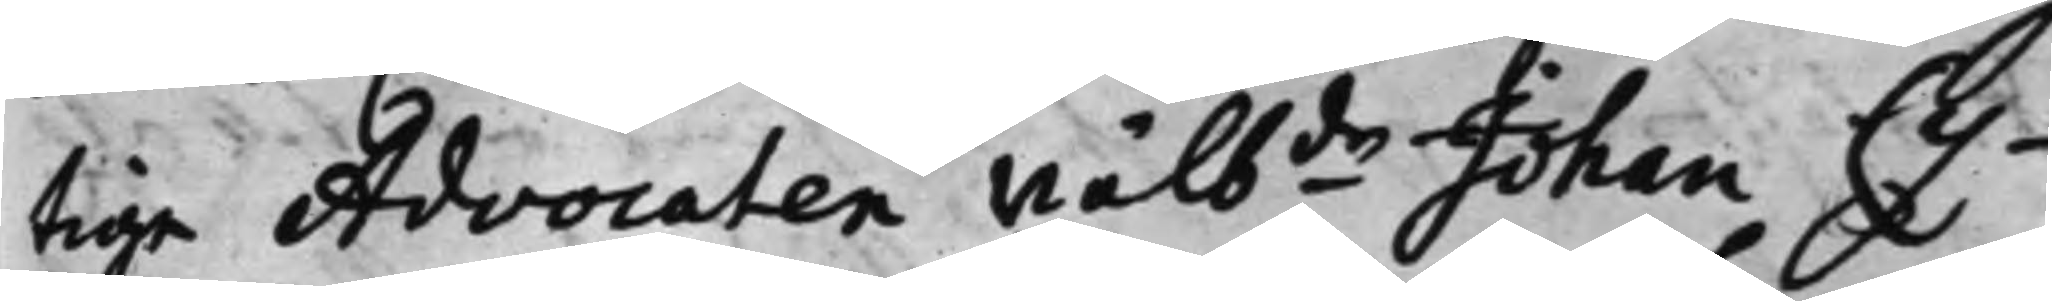tige Advocaten Wälbde Johan Cy¬
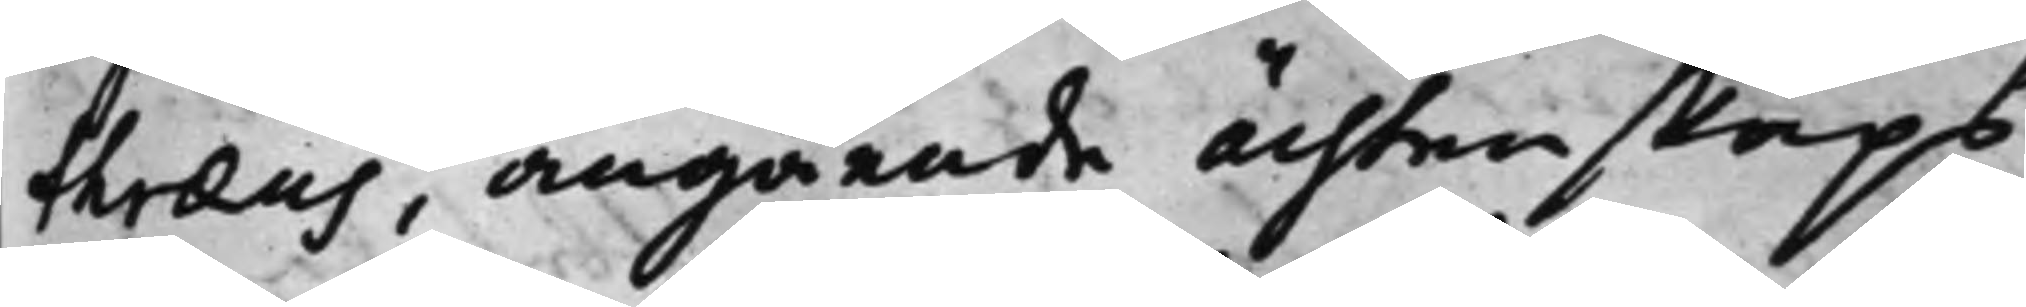træus, angående ächtenskaps
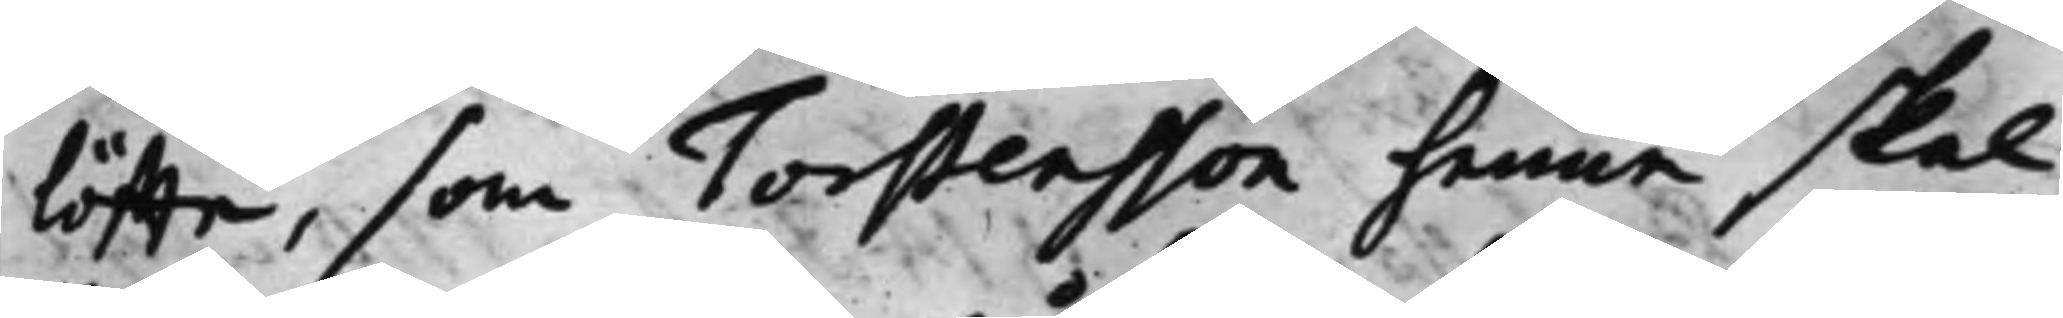löffte, som Torstensson henne skal
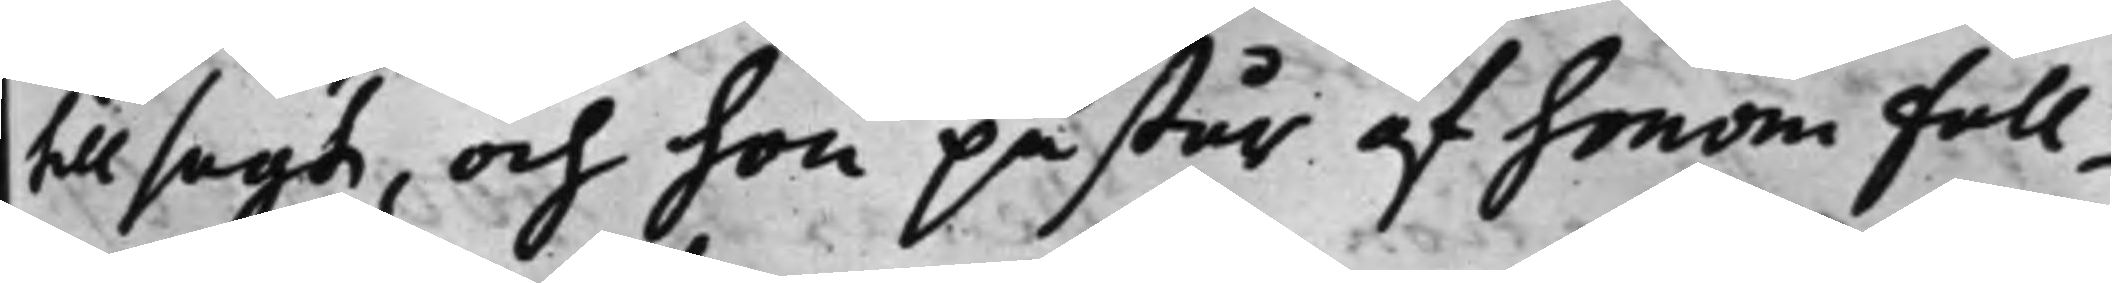tillsagt, och hon påstår af honom full¬
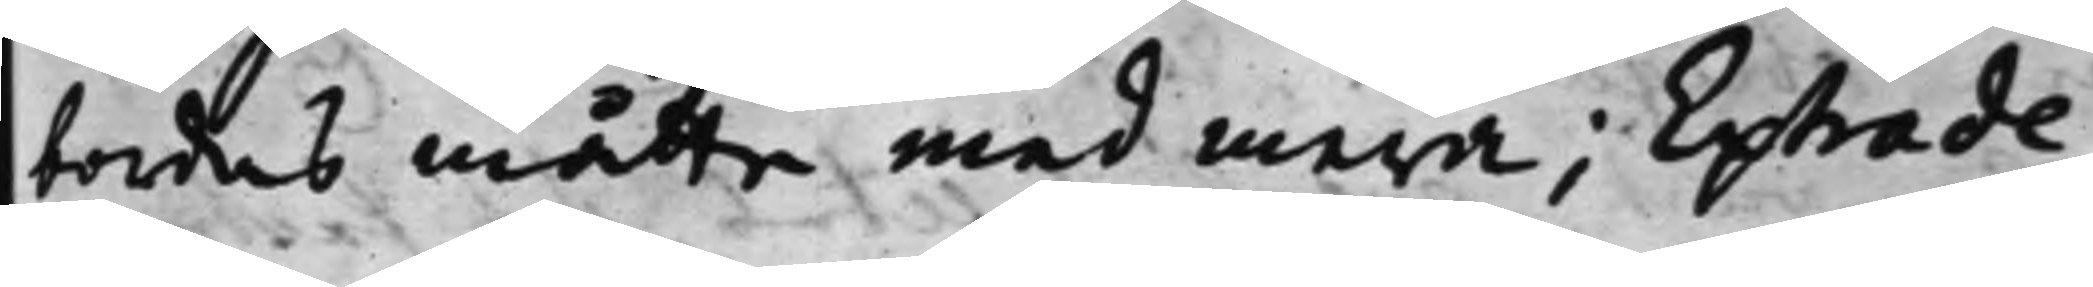bordas måtte med mera; Extrade¬
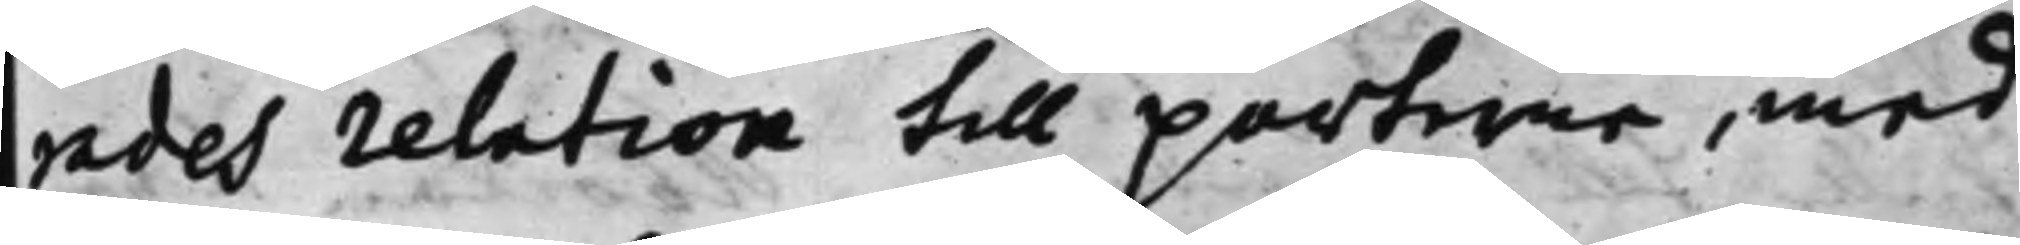rades relation till parterne, med
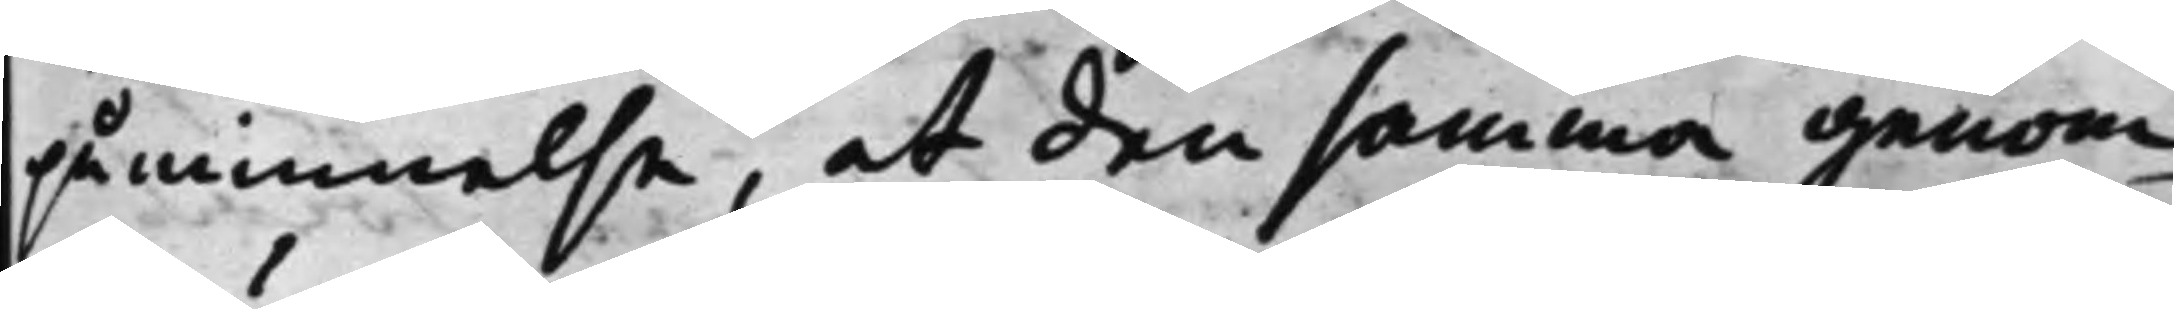påminnelse, at den samma genom¬
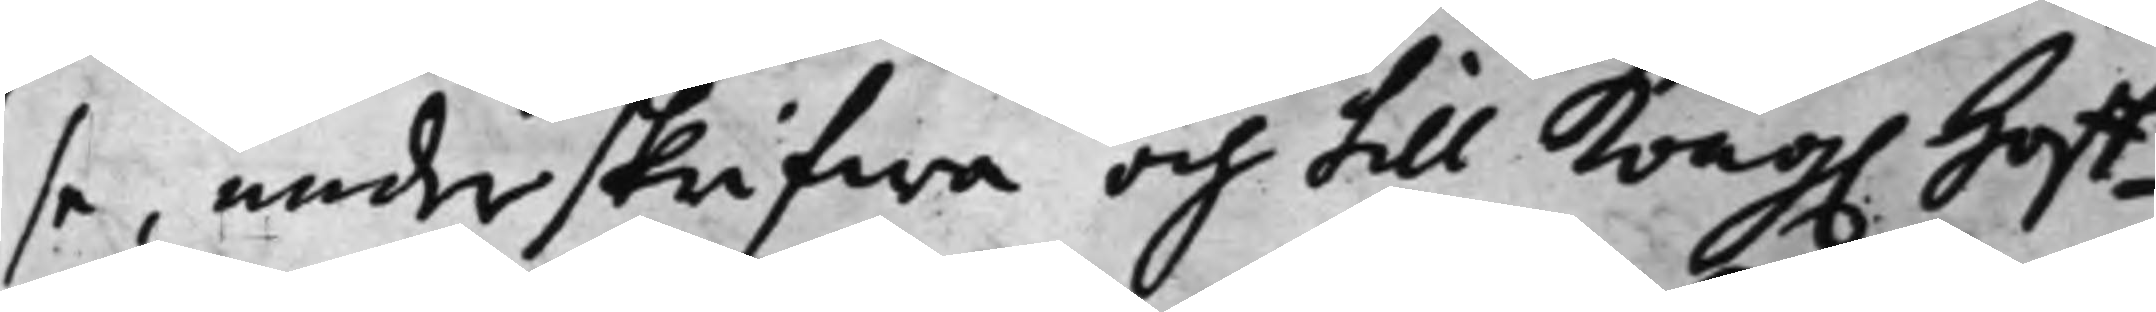se, underskrifwa och till Kong. Hoff¬
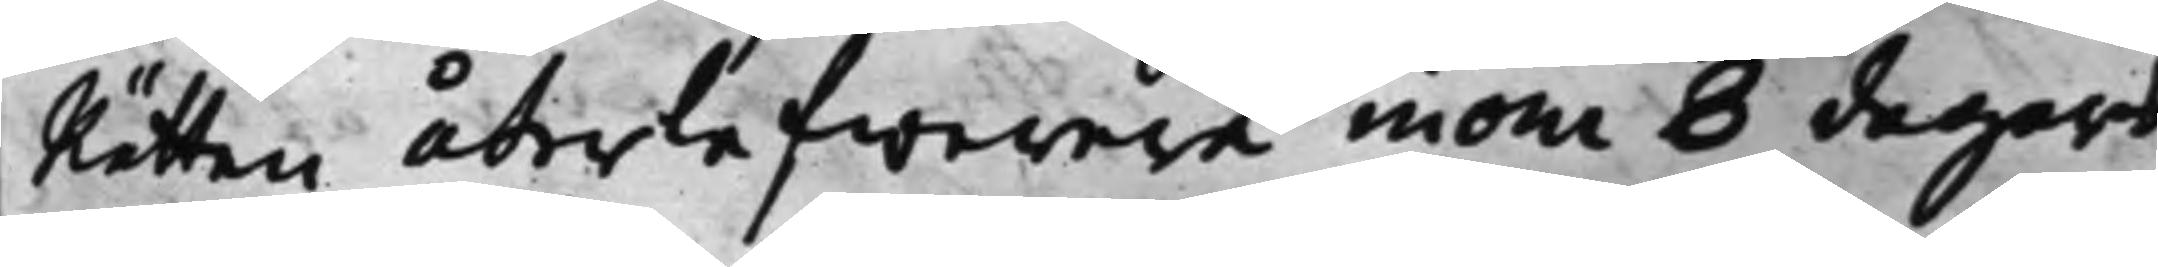Rätten återlefwerera inom 8 dagars
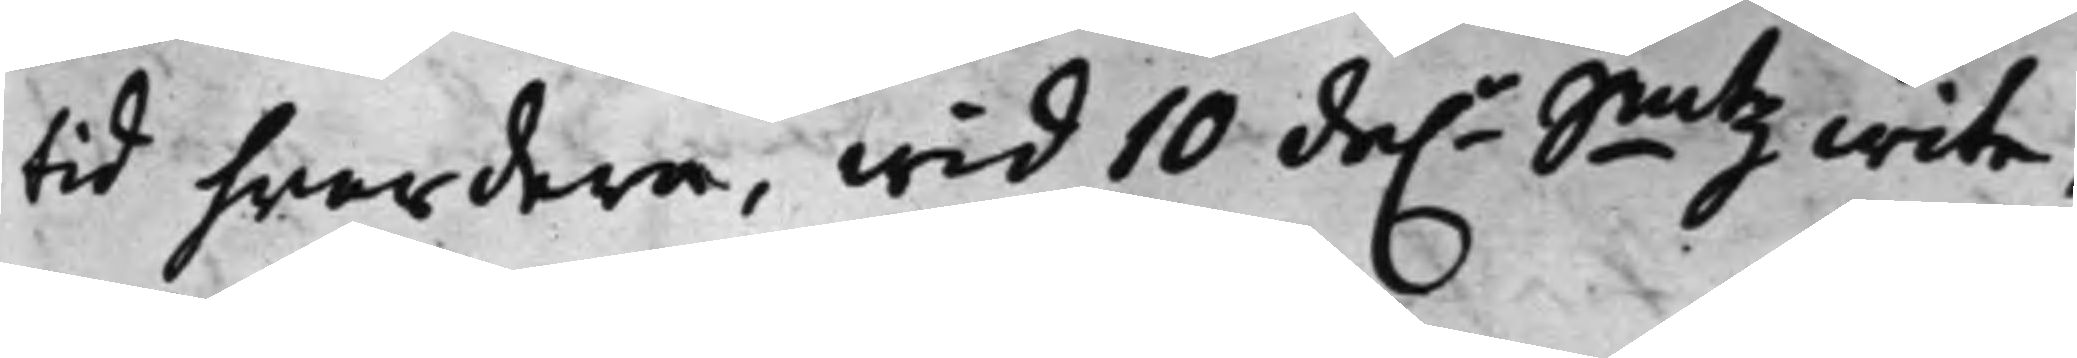tid hwardera, wid 10 da.r Smtz wite.
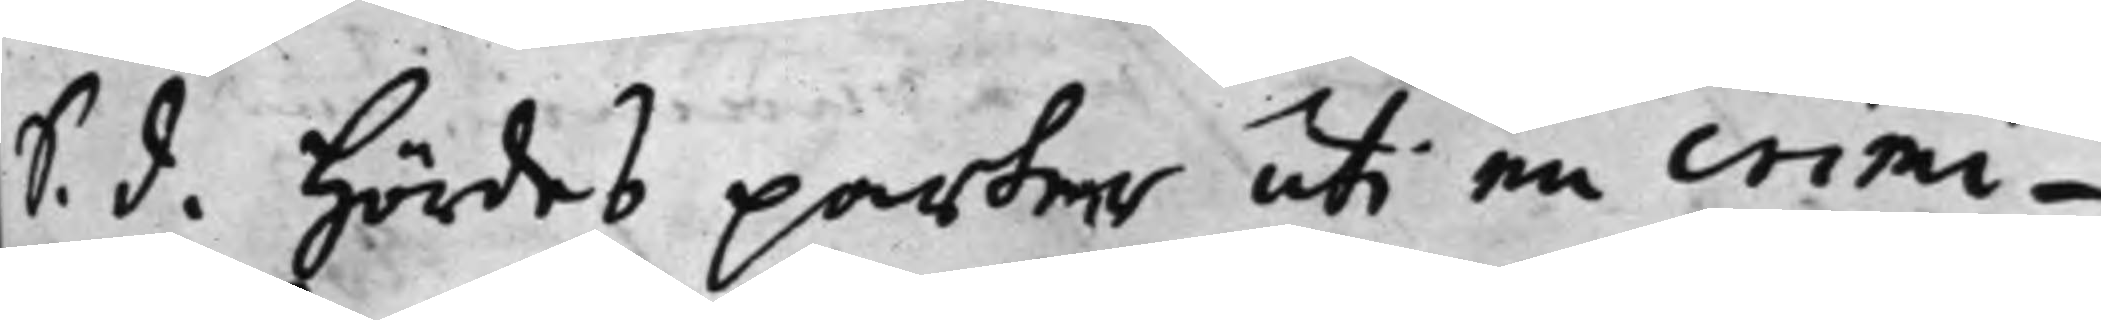S. d. hördes parter uti en crimi¬
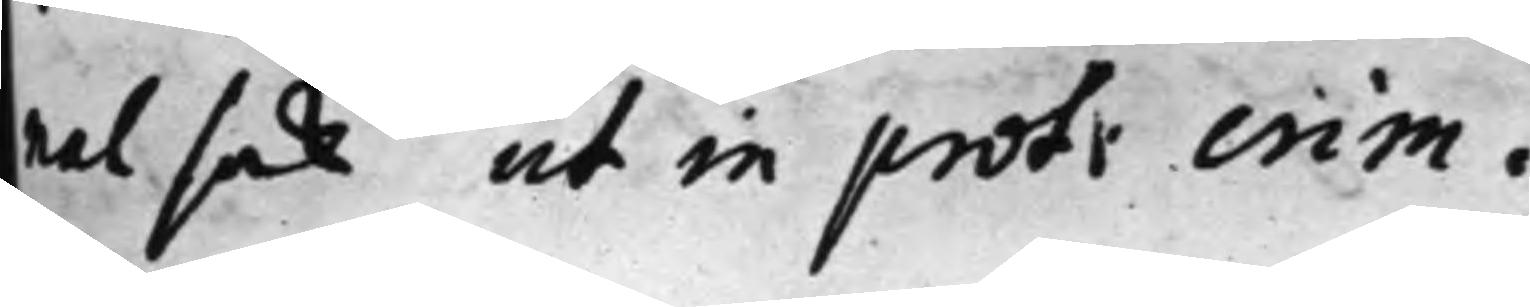nal sak ut in prot crim.
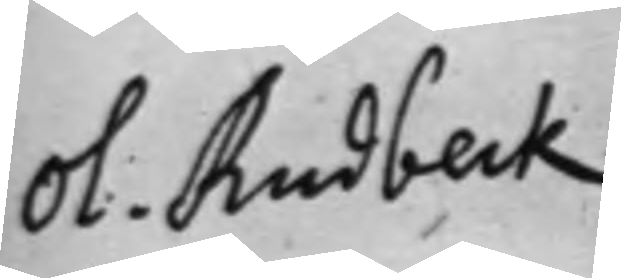Ol. Rudbeck
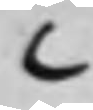C
